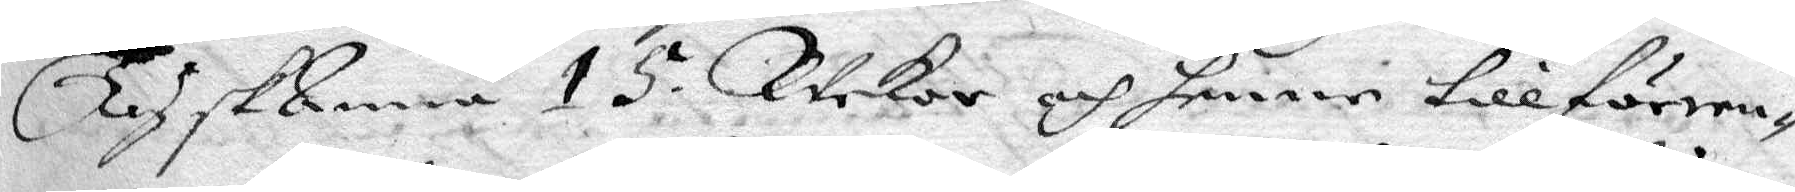TyskAnna 15 Wekor och henne tillfören¬
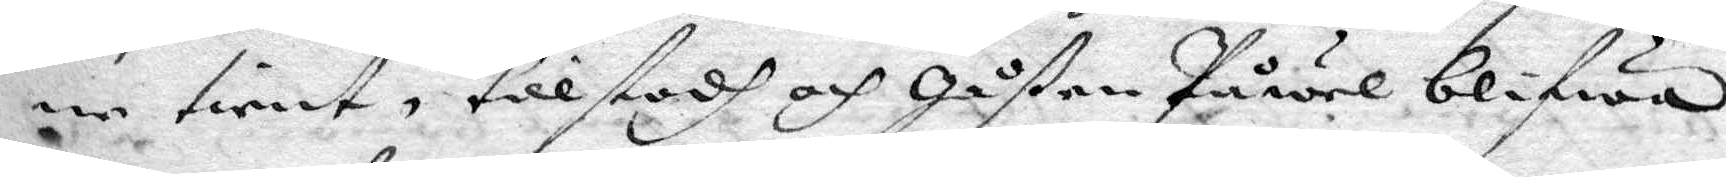ne tient, tillstodh och gåßen Påwel blifwa
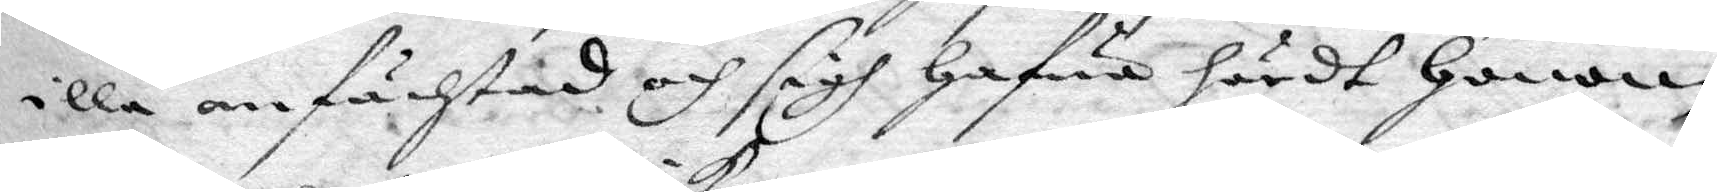illa anfächtad och sidh hafwa hördt honom
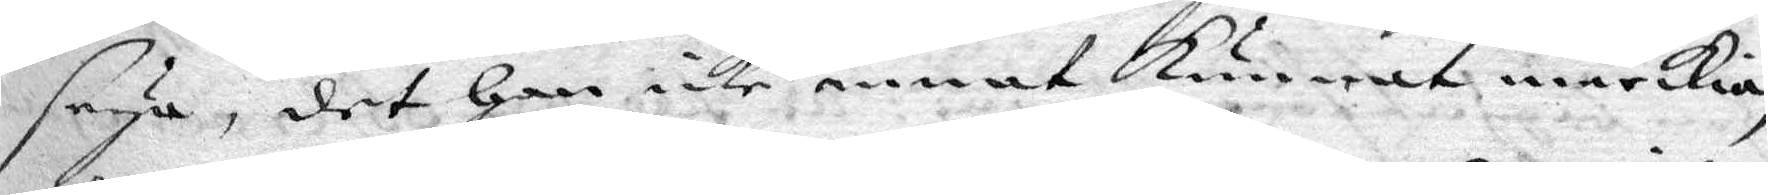seya, det han icke annat kunnat märkia
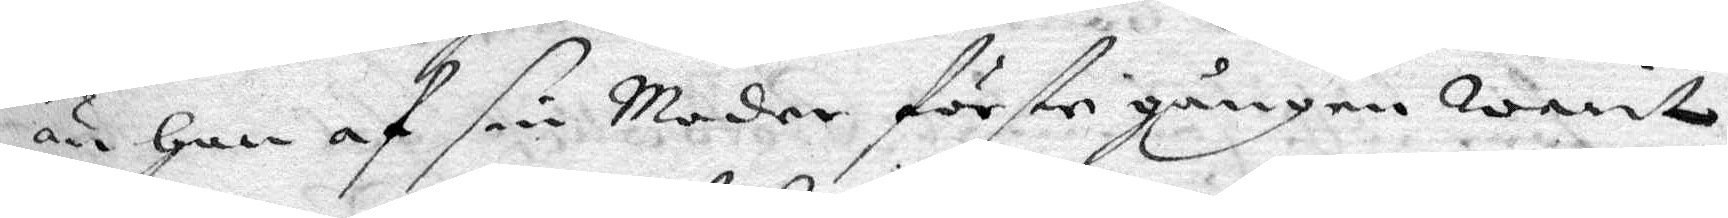än han af sin Moder förste gången warit
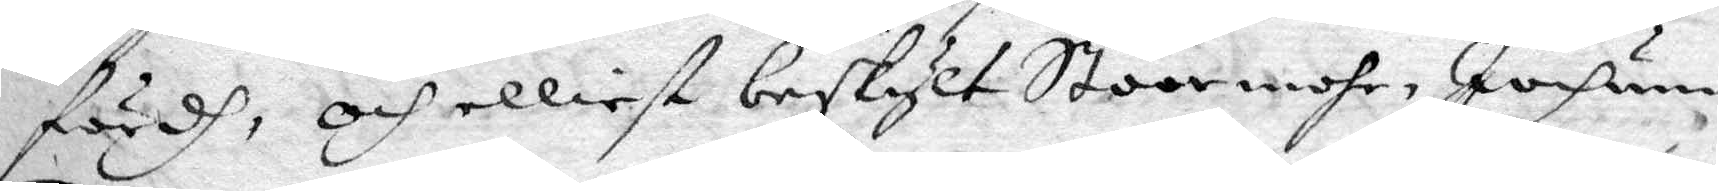fördh, och elliest beskylt Stoormohr, Jochum
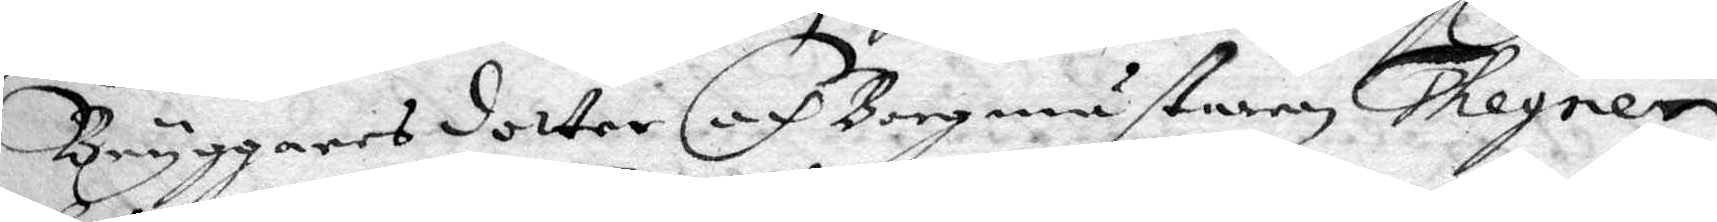Bryggares dotter och Borgmästaren Thegner,
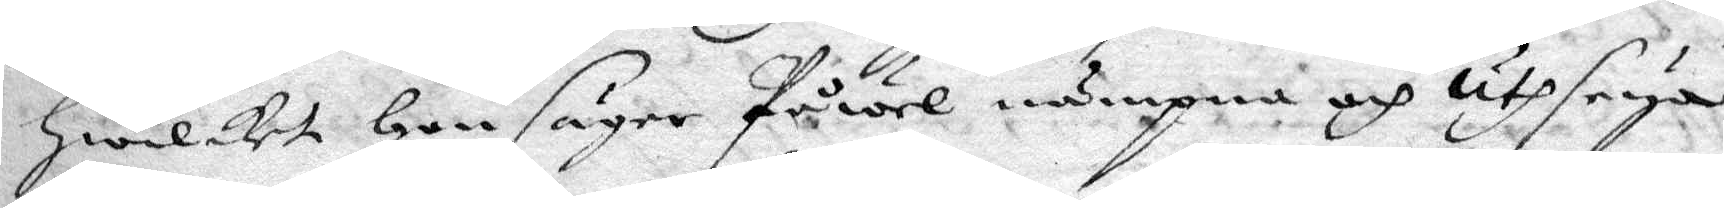hwilket han säger Påwel nämpna och uthseya
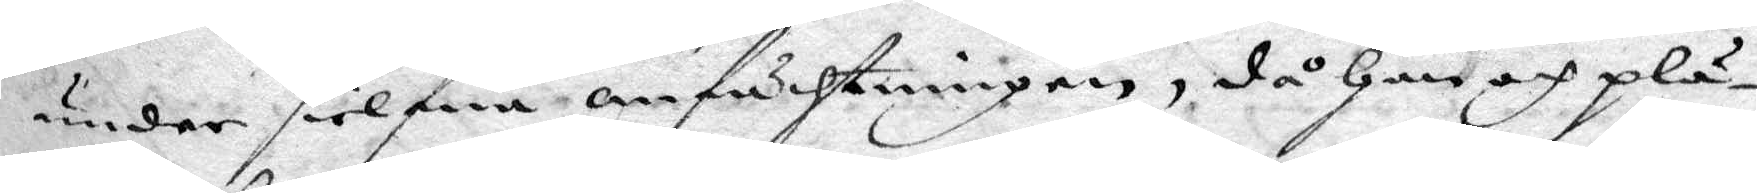under sielfua anfächtningen, då han och plä¬
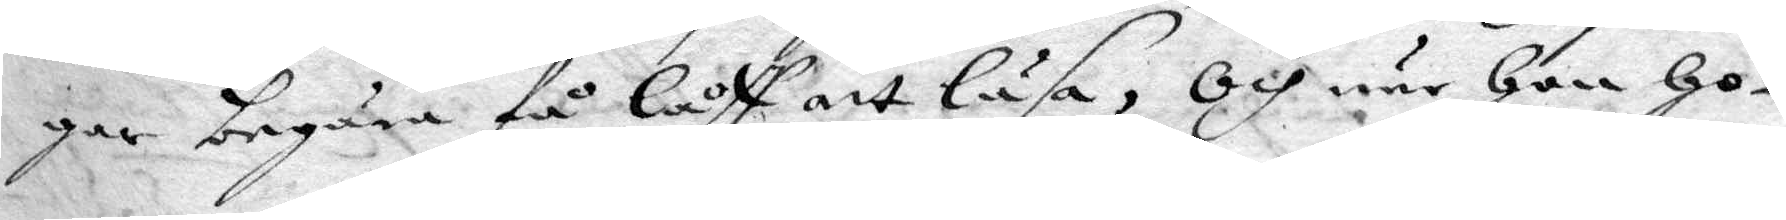gar begära få låff att läsa, Och nar hon ho¬
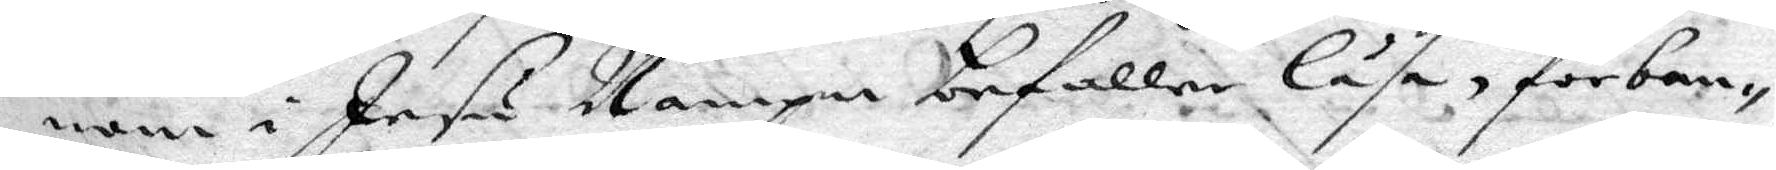nom i Jesu Nampn befaller läsa, förban¬
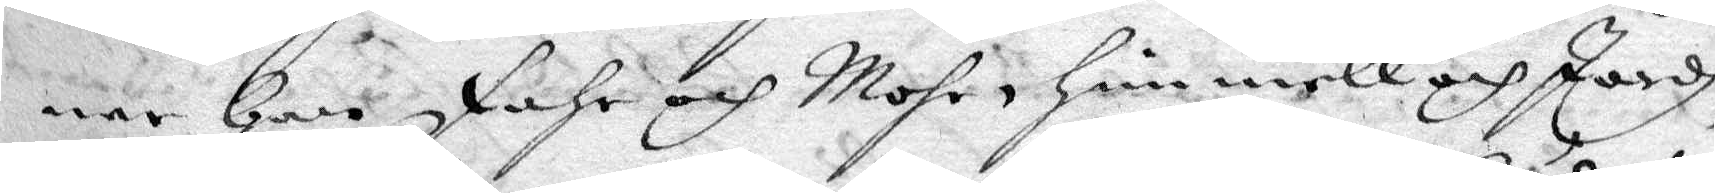nar han fahr och Mohr, himmell och Jordh,
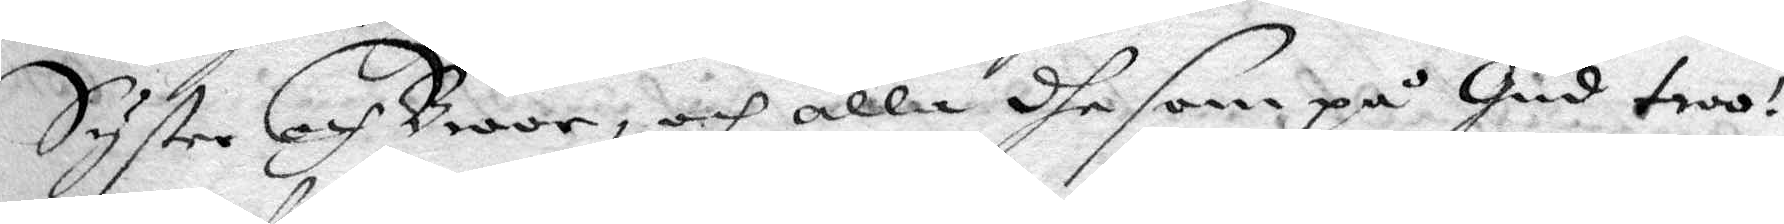Syster och Broor, och alla dhe som på Gud troo!
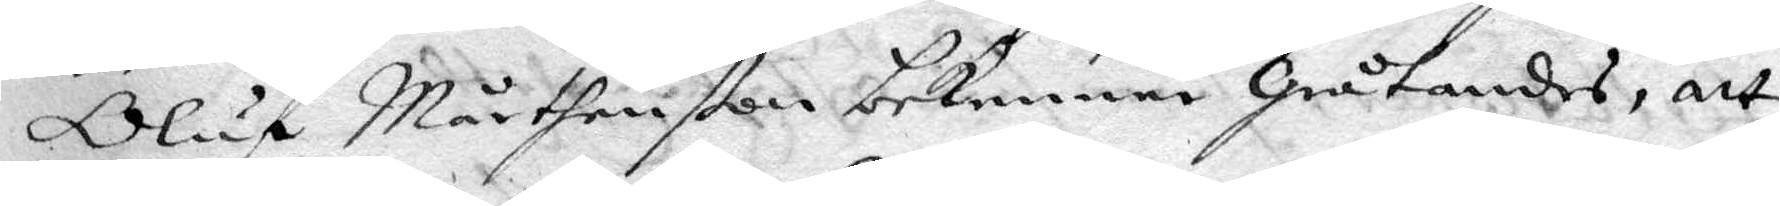Oluf Mårtenßon bekenner gråtandes, att
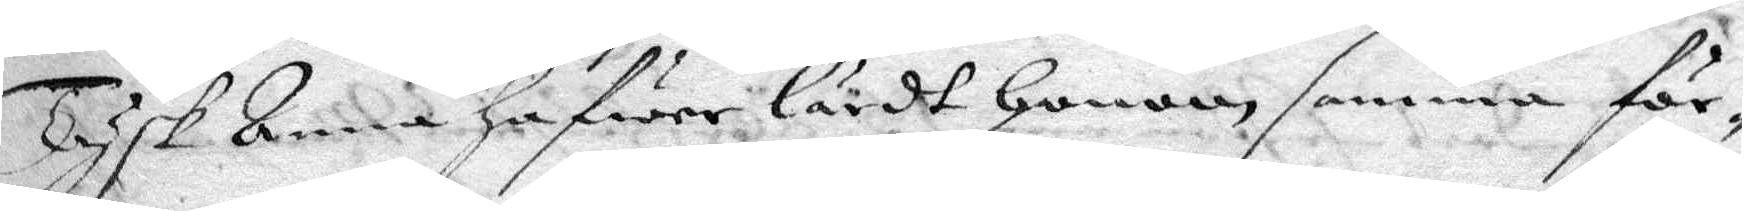Tysk Anna hafwer lärdt honom samma för¬
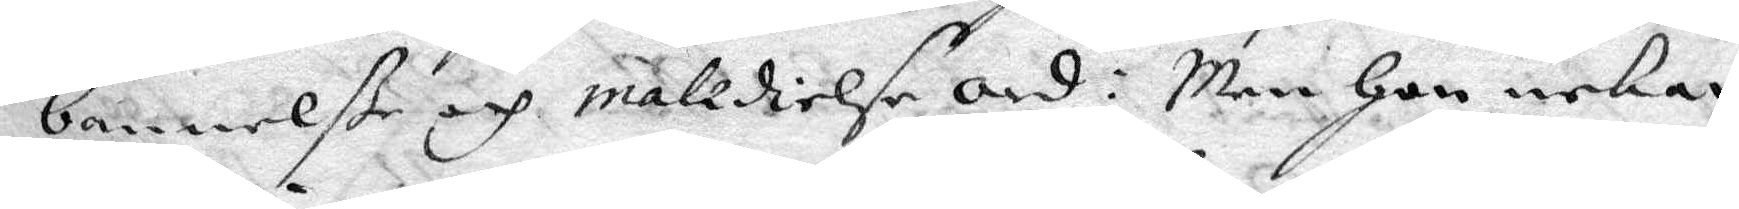bannelße och malidielse ord: Men hon nekar
